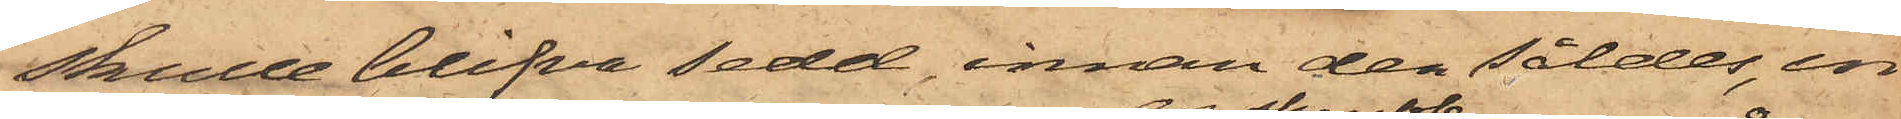skulle blifva sedd, innan den såldes, in¬
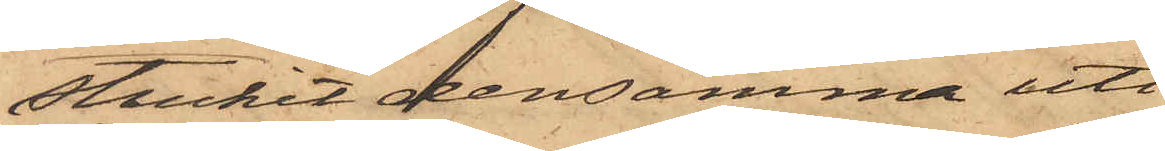stuckit densamma uti
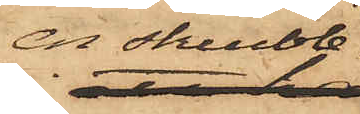en skrubb
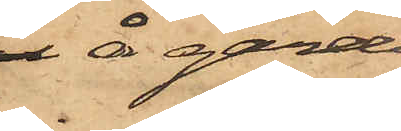å gården
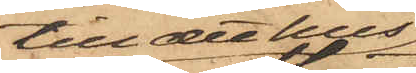till det hus
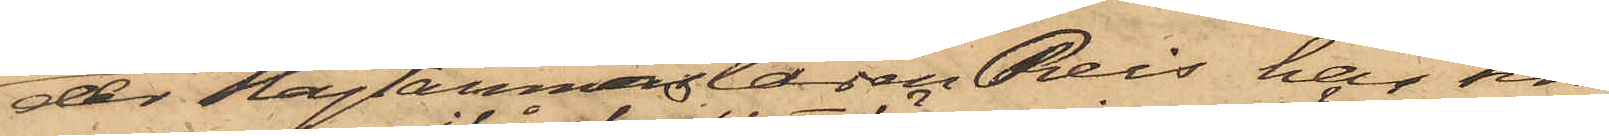der Slagtarmästaren Reis har sin
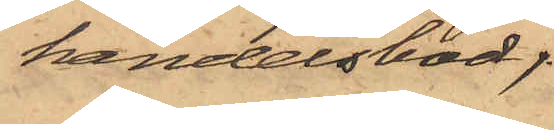handelsbod,
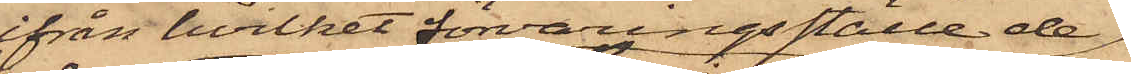ifrån hvilket förvaringsställe de
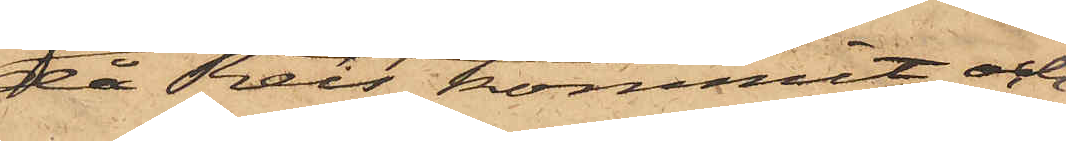då Reis kommit och
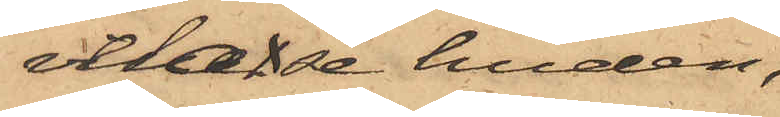velat se huden,
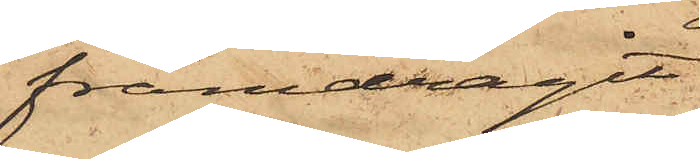framdragit
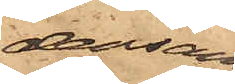densamma
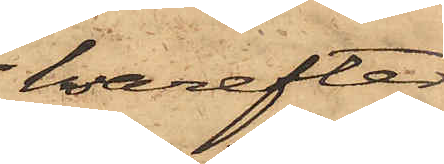, hvarefter
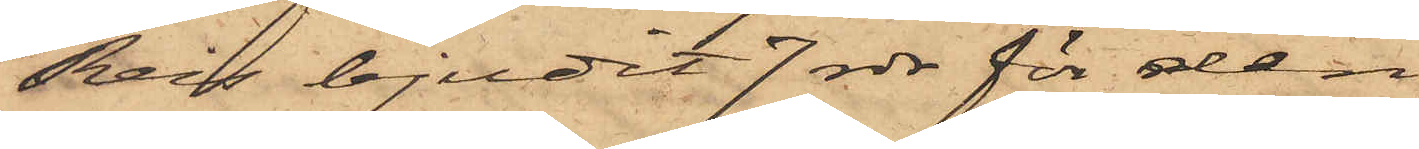Reis bjudit 7 rdr för den,
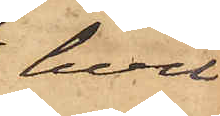hvil¬
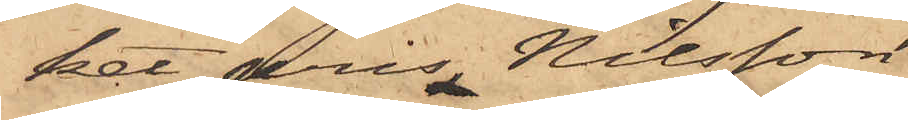ket pris, Nilsson
